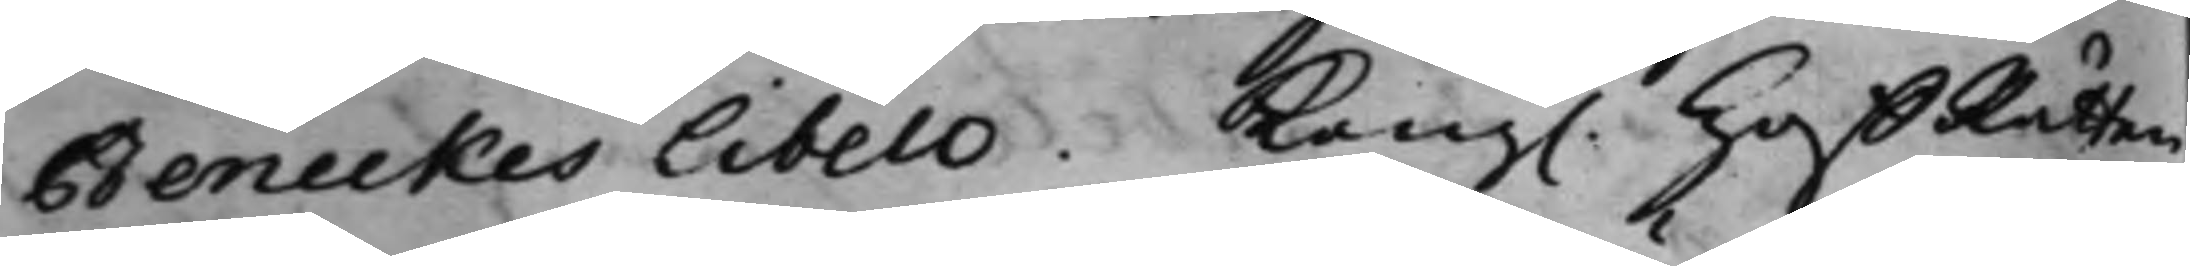Beneckes Libell. Kong. HoffRätten
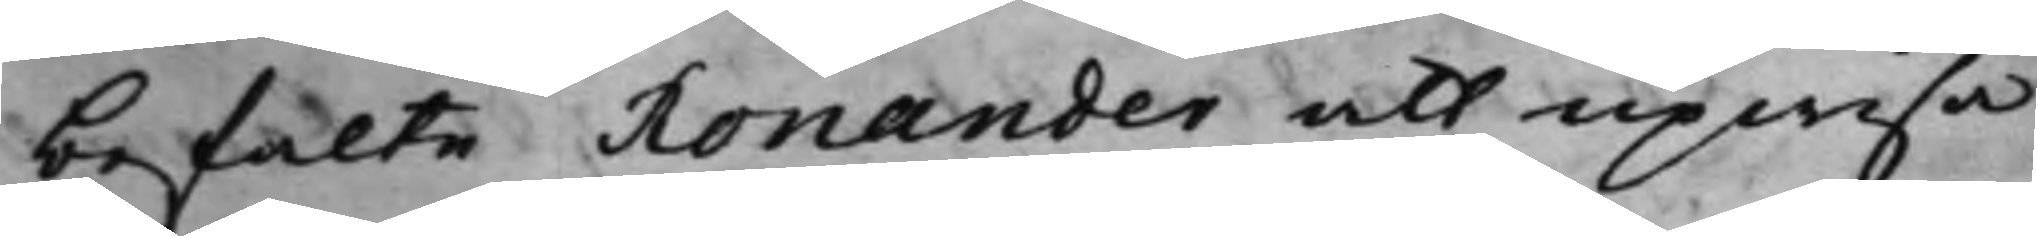befalte Ronander att upwisa
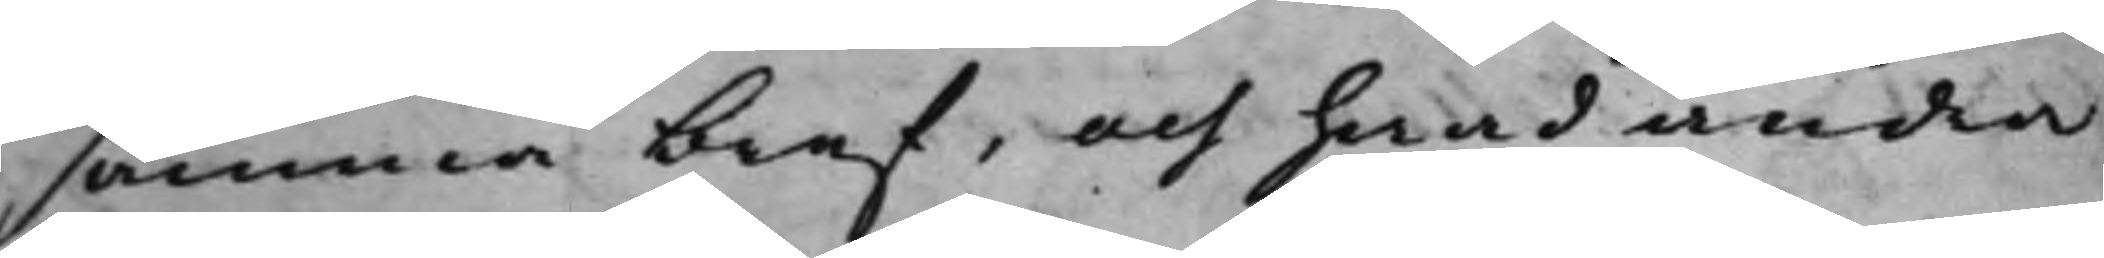samma bref, och hwad andra
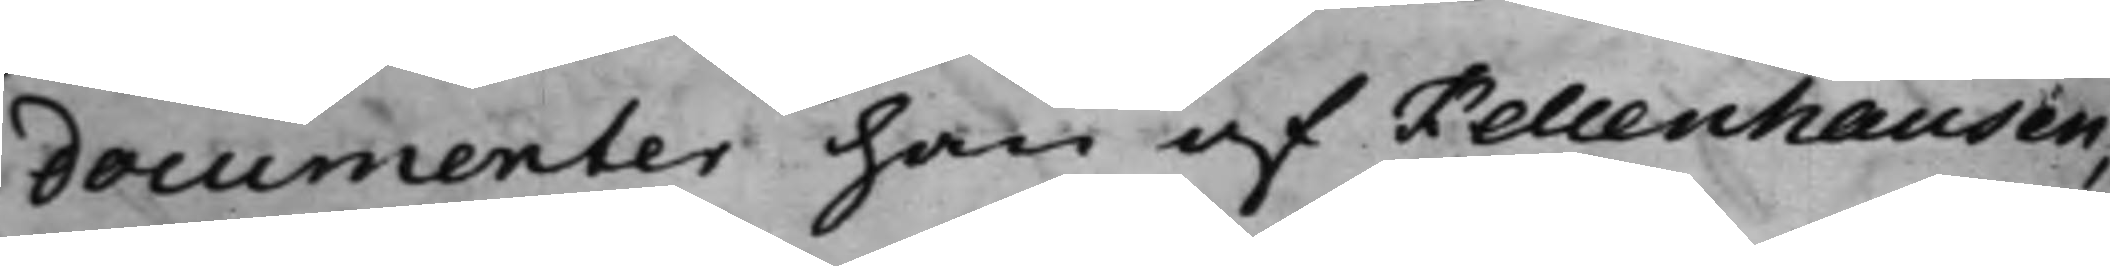documenter han af Kellenhausen,
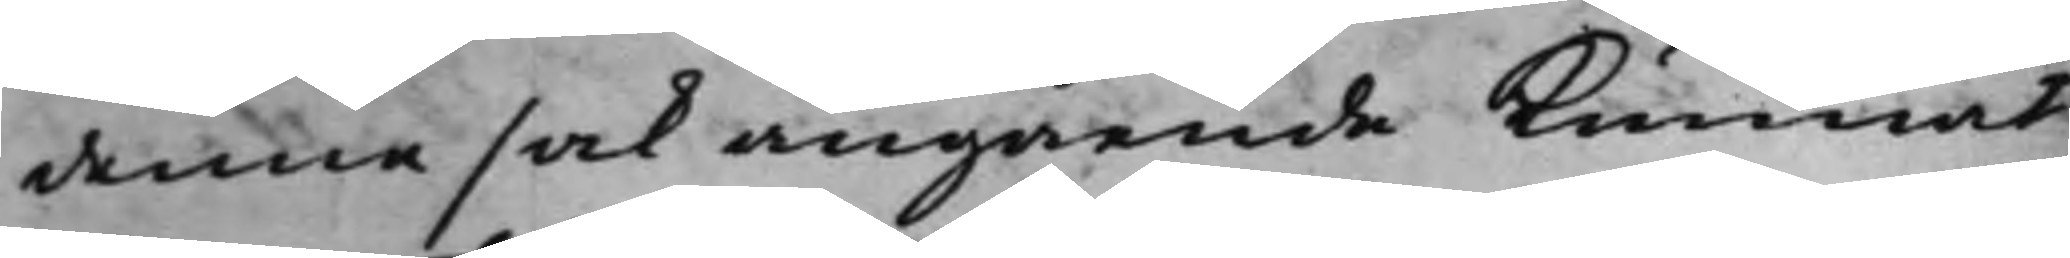denna sak angående kunnat
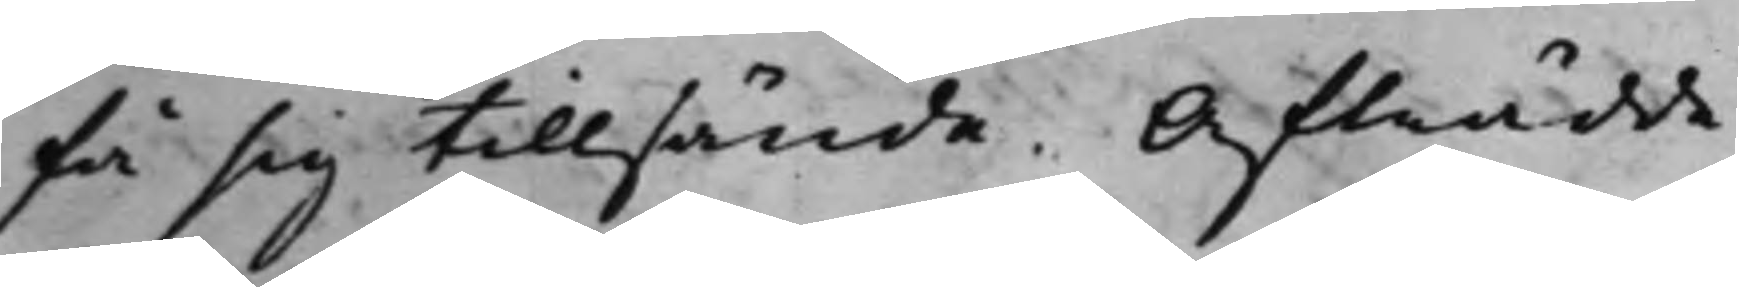få sig tillsände. Afträdde.
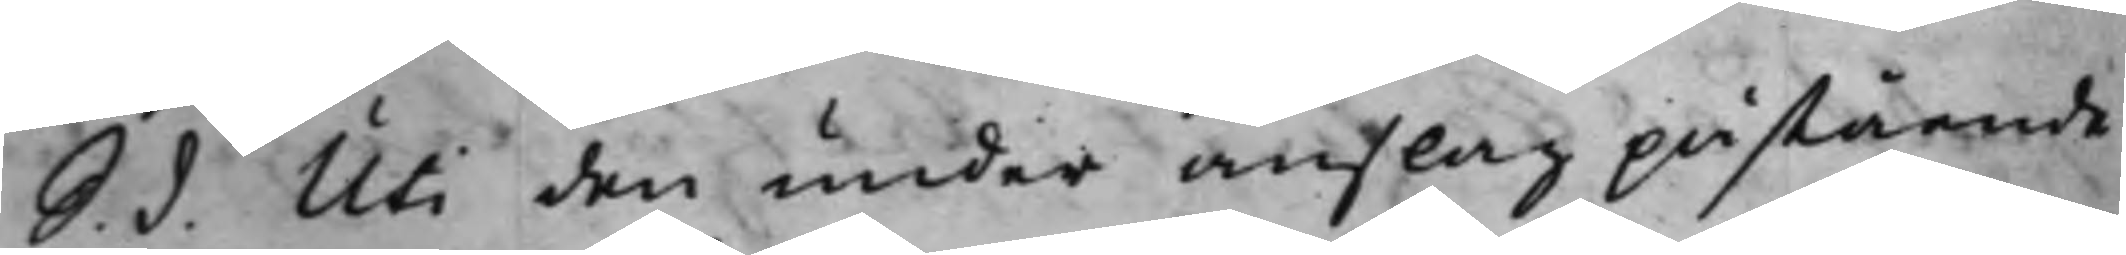S. d. Uti den under anslag påstående
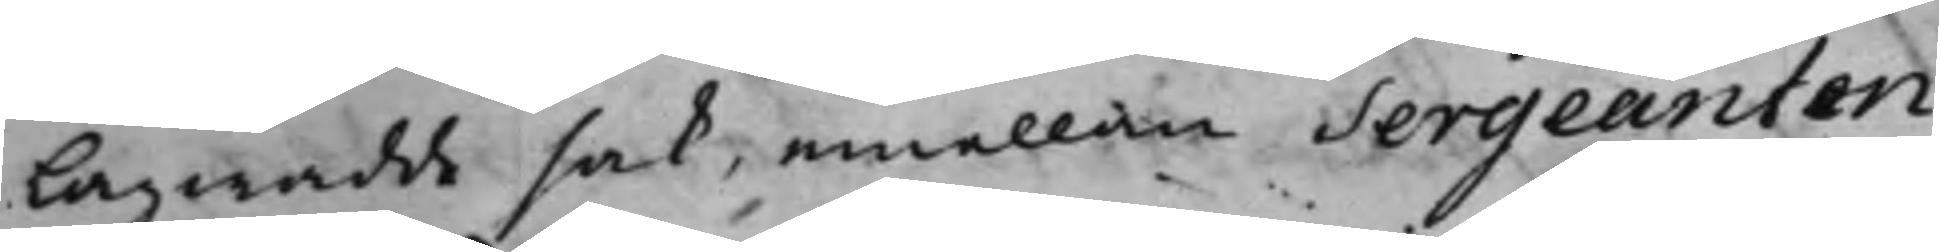Lagwadde sak, emellan Sergeanten
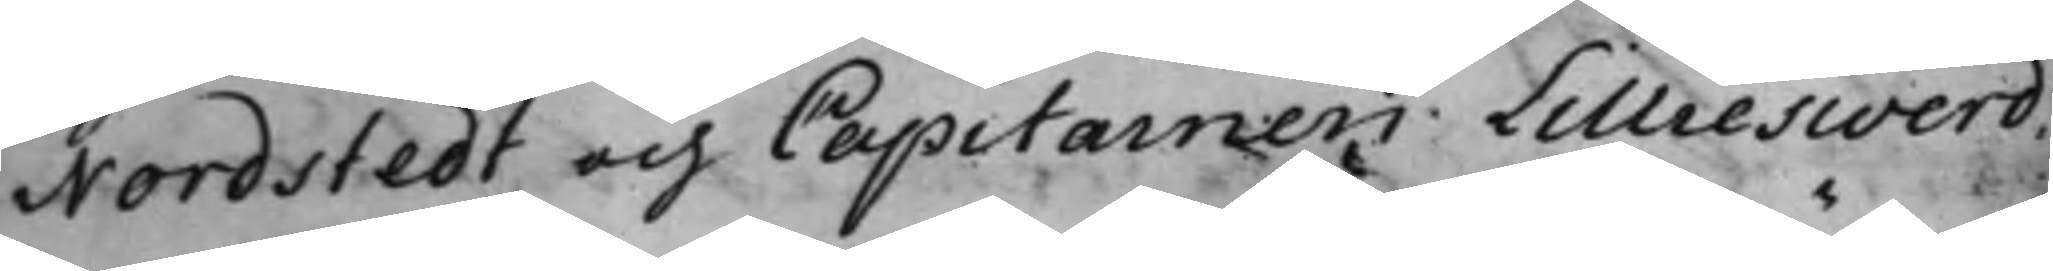Nordstedt och Capitainen Lillieswerd,
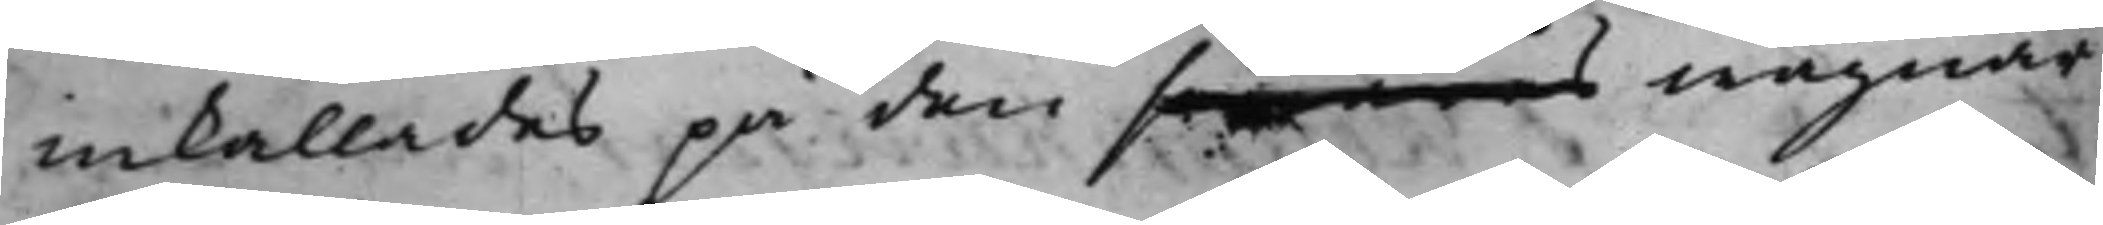inkallades på den sammes wägnar
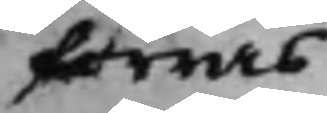förras
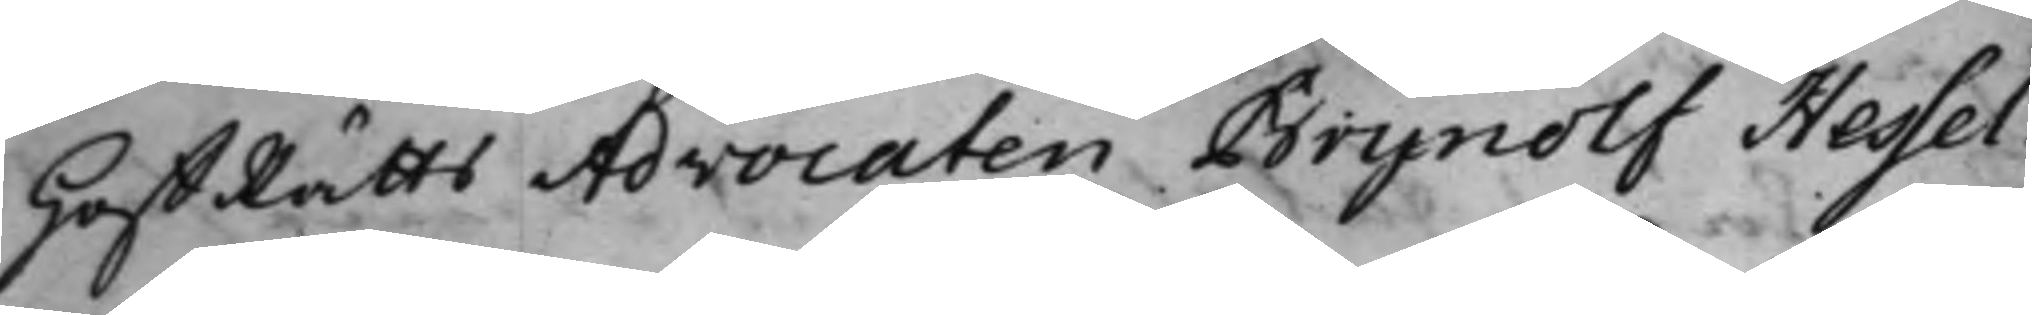HoffRätts Advocaten Brynolf Hessel¬
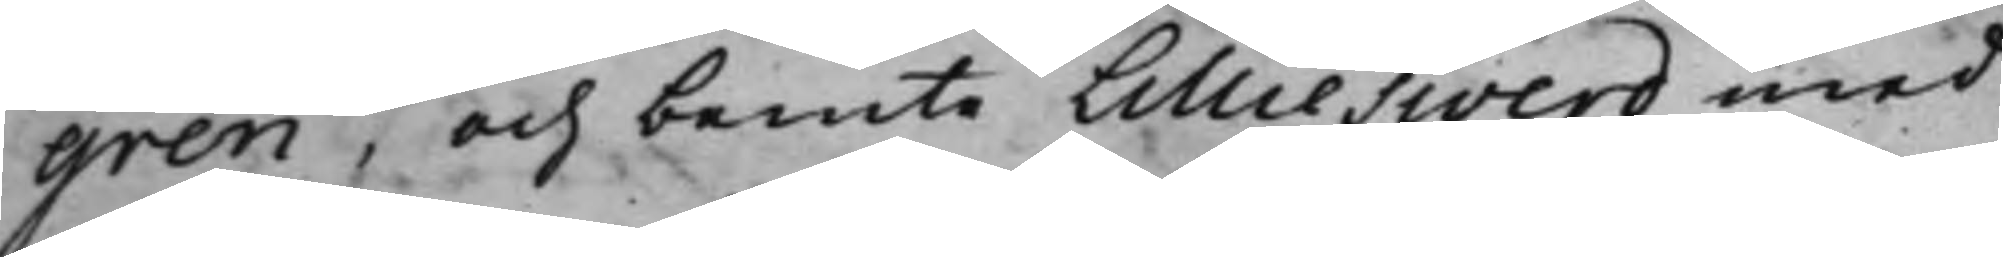gren, och bemte Lillieswerd med
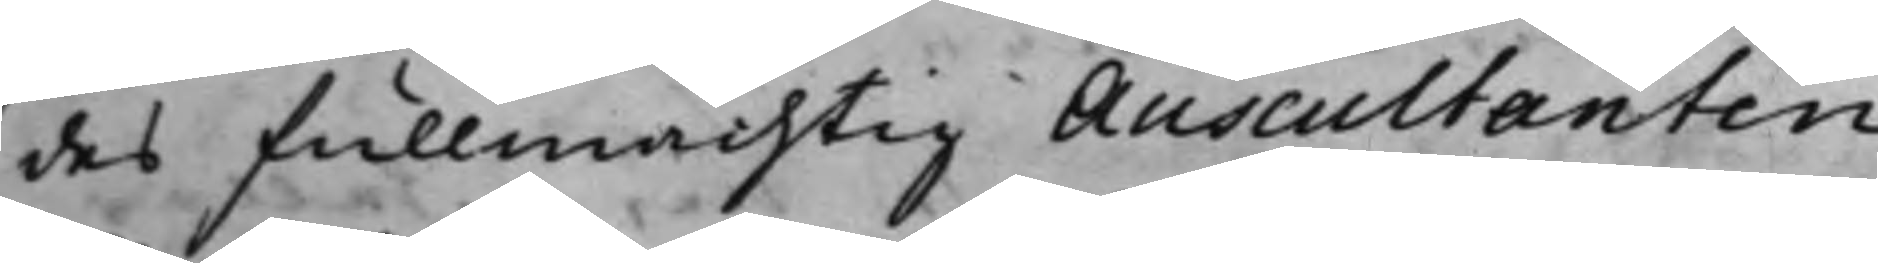des Fullmächtig Auscultanten
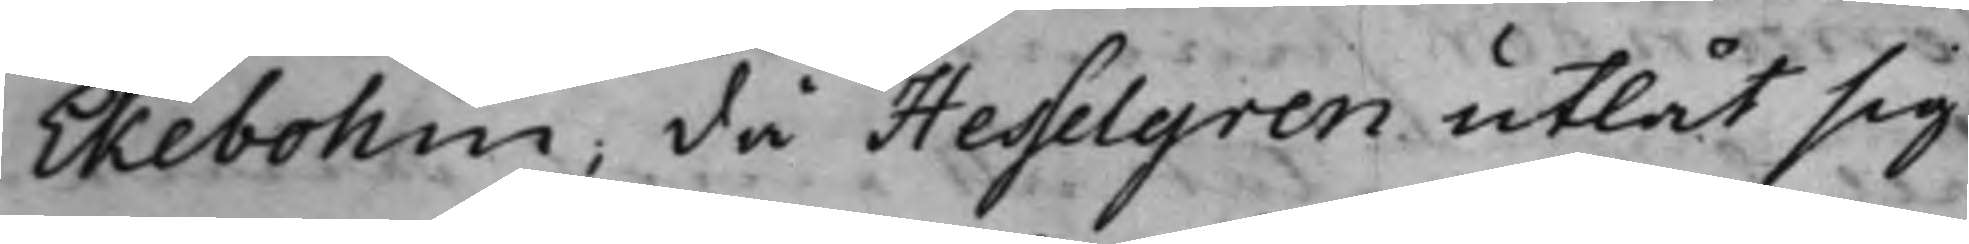Ekebohm; då Hesselgren utlät sig
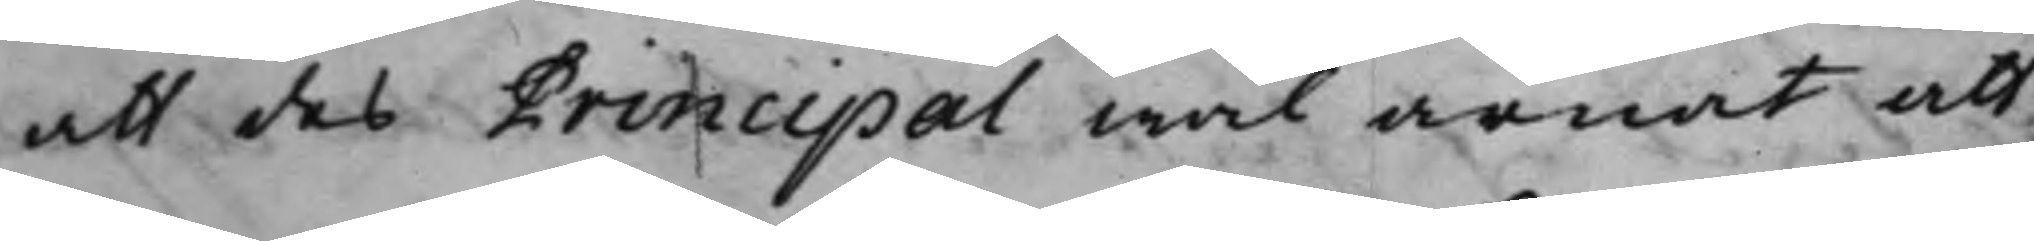att des Principal wäl ärnat att
